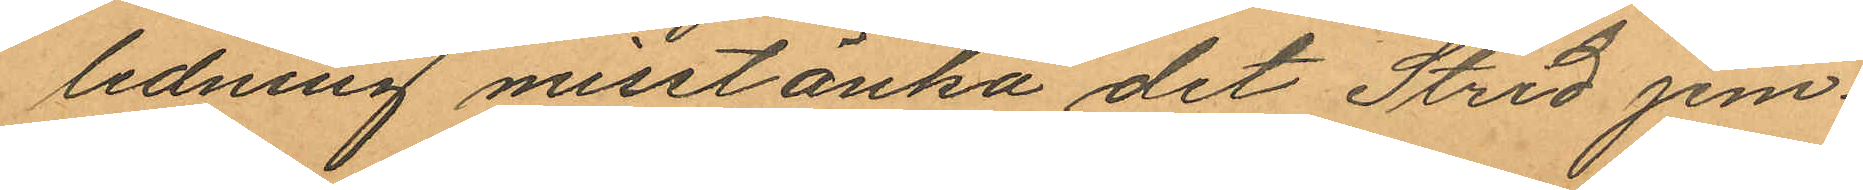ledning misstänka det Strid jem¬
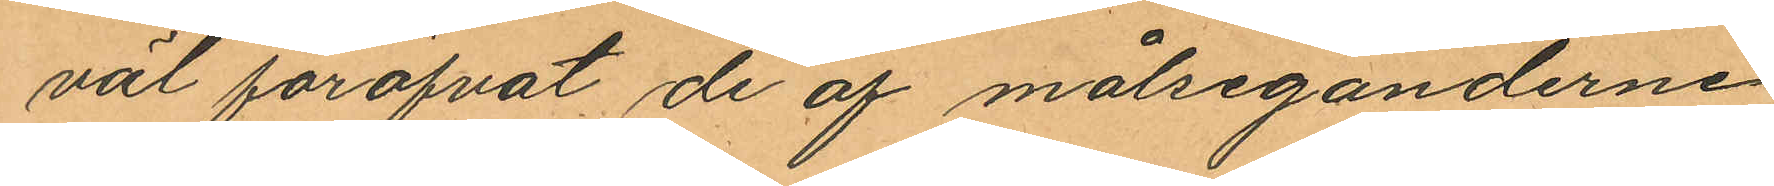väl föröfvat de af målseganderne
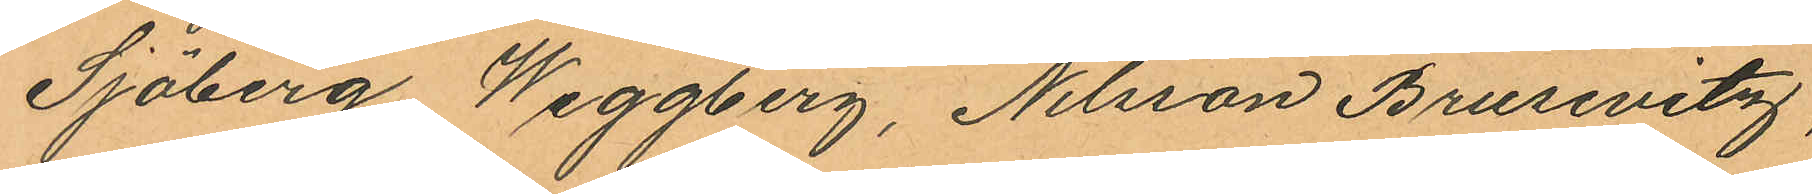Sjöberg Weggberg, Nilsson Brusevitz,
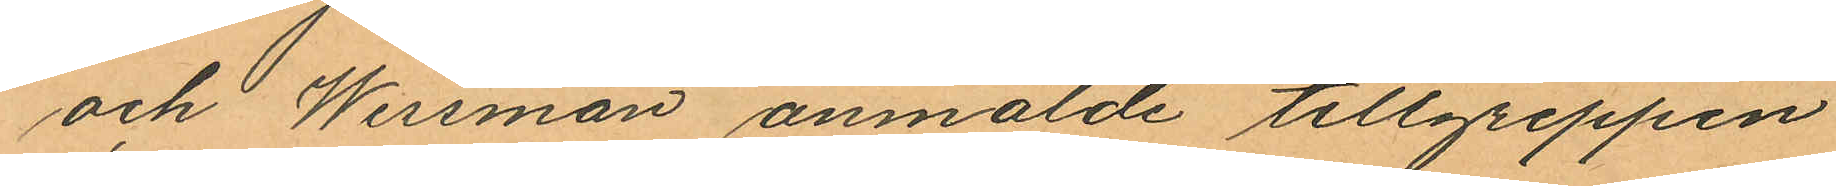och Wessman anmälde tillgreppen
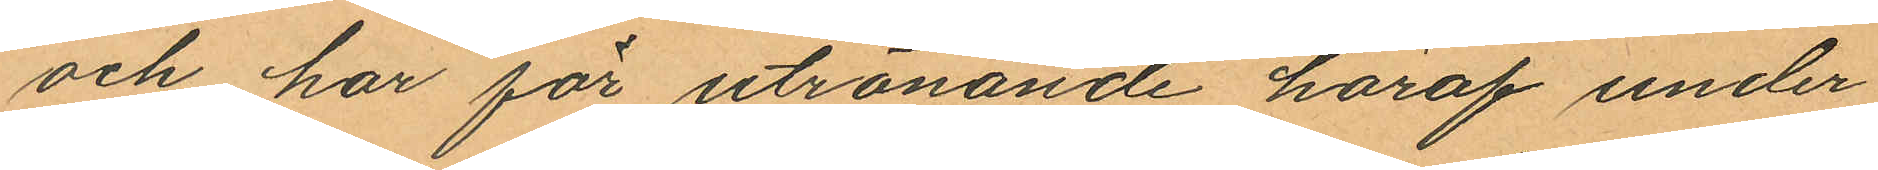och har för utrönande häraf under
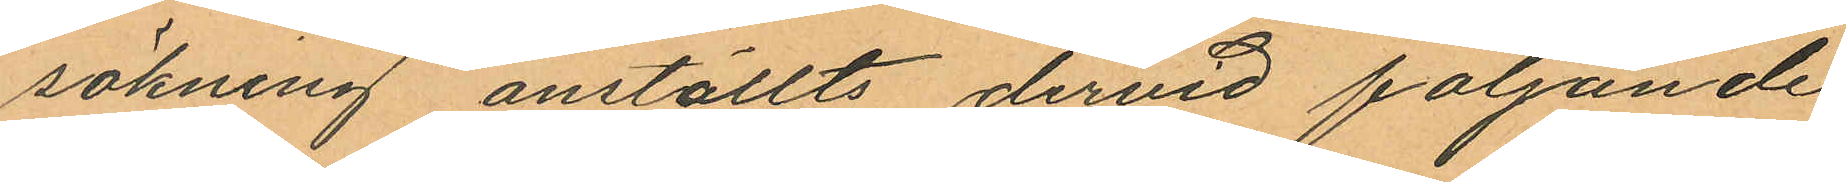sökning anställts dervid följande
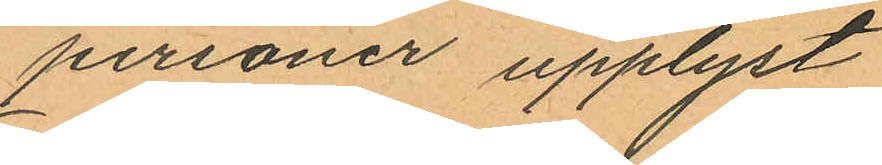personer upplyst
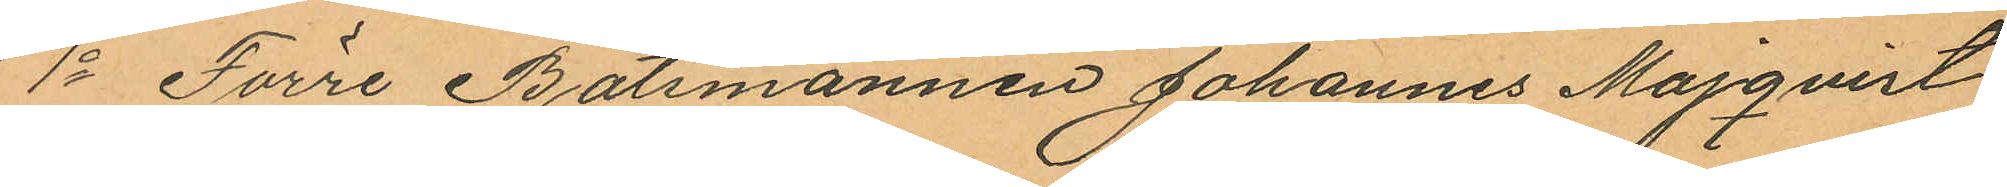1o Förre Båtsmannen Johannes Majqvist
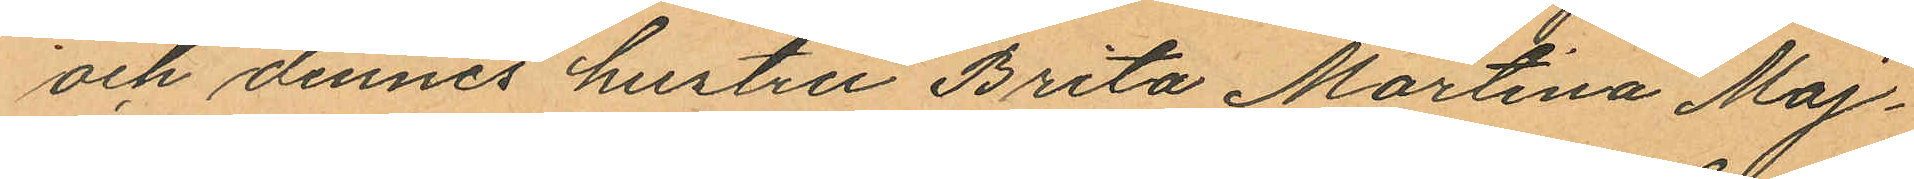och dennes hustru Brita Martina Maj¬
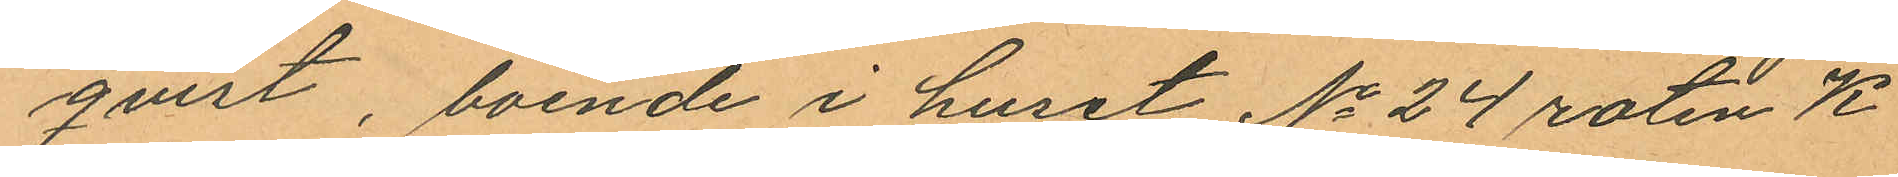qvist, boende i huset No 24 roten K
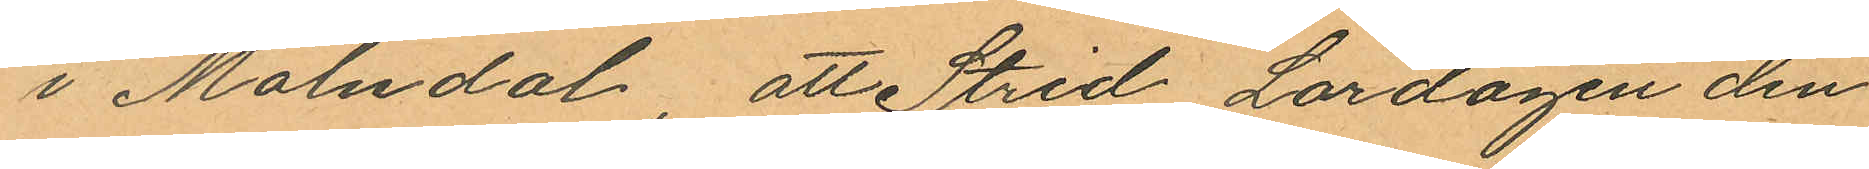i Mölndal, att Strid Lördagen den
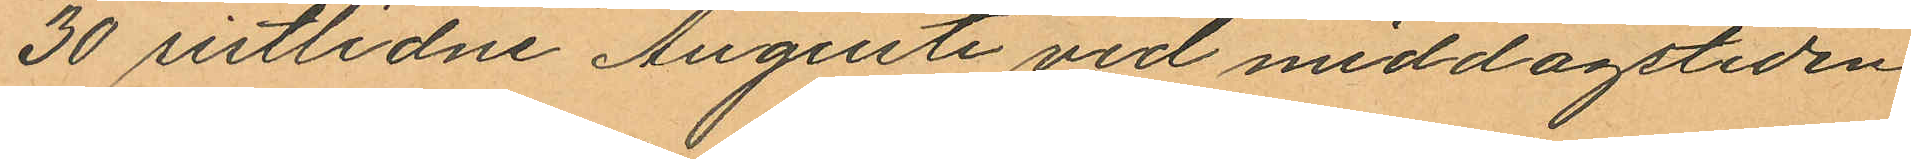30 sistlidne Augusti vid middagstiden
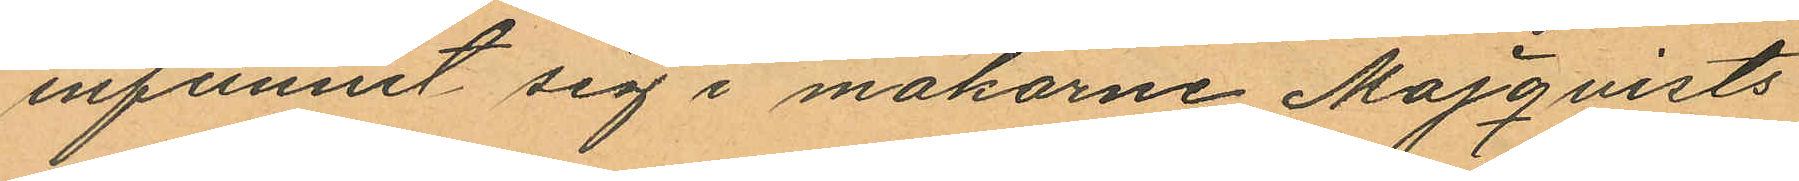infunnit sig i makarne Majqvists
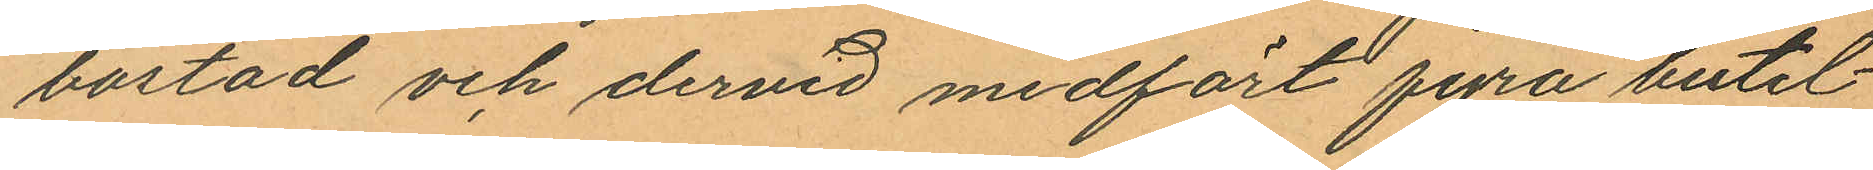bostad och dervid medfört fyra butel¬
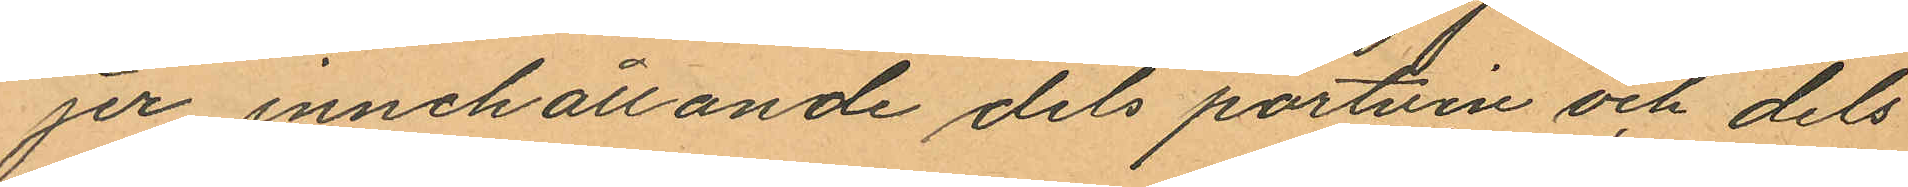jer innehållande dels portvin och dels
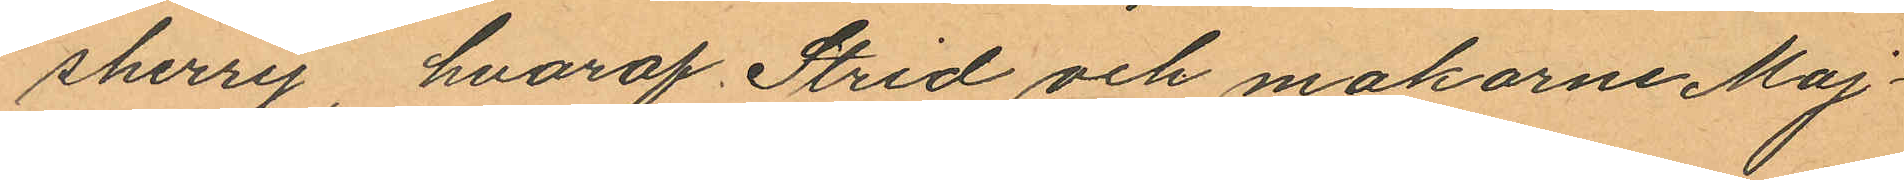sherry, hvaraf Strid och makarne Maj¬
